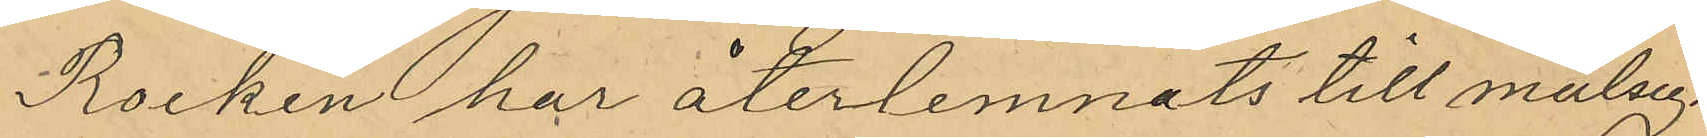Rocken har återlemnats till målseg.
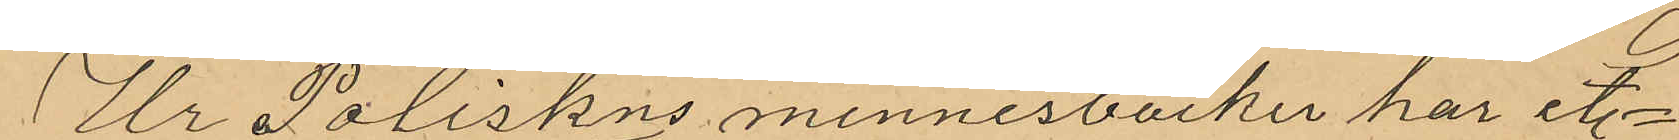Ur Poliskns minnesböcker har et.
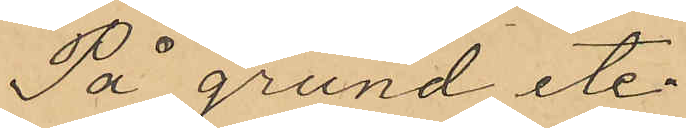På grund et.
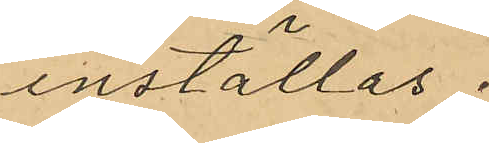inställas.
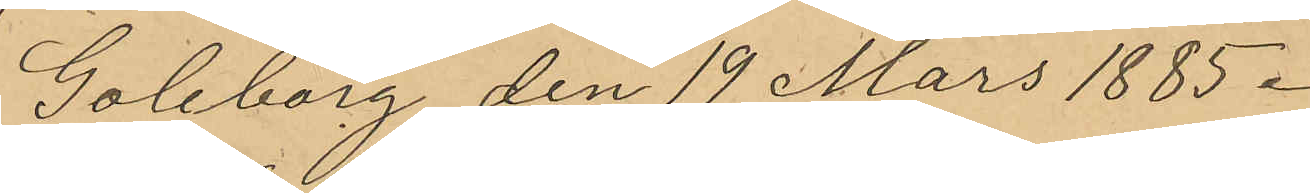Goleborg den 19 Mars 1885.
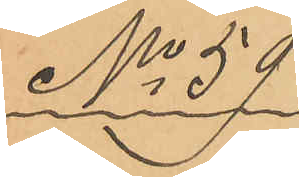No 59
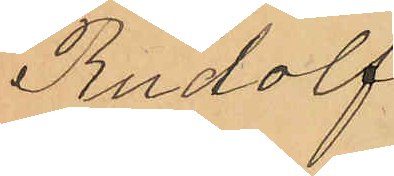Rudolf
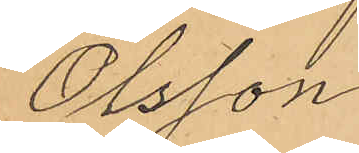Olsson
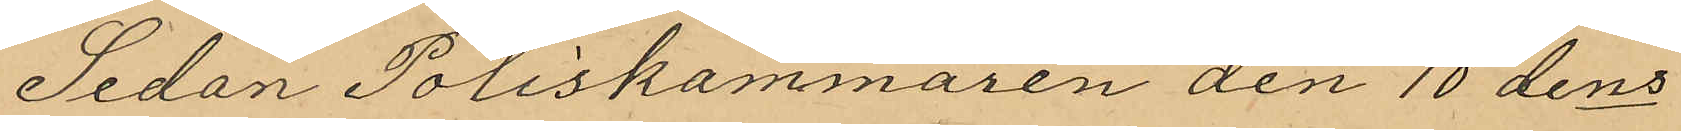Sedan Poliskammaren den 10 dens
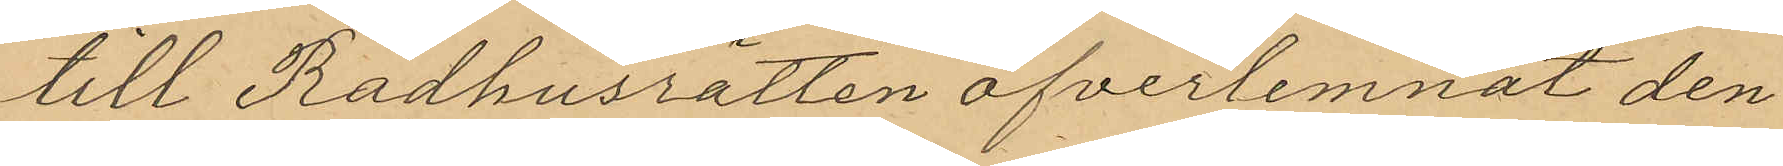till Rådhusrätten öfverlemnat den
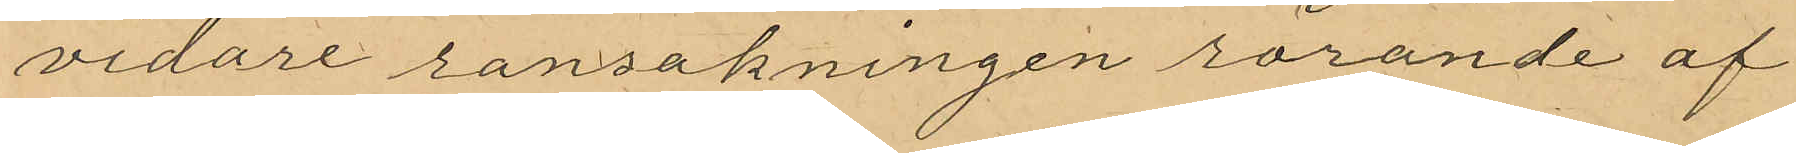vidare ransakningen rörande af
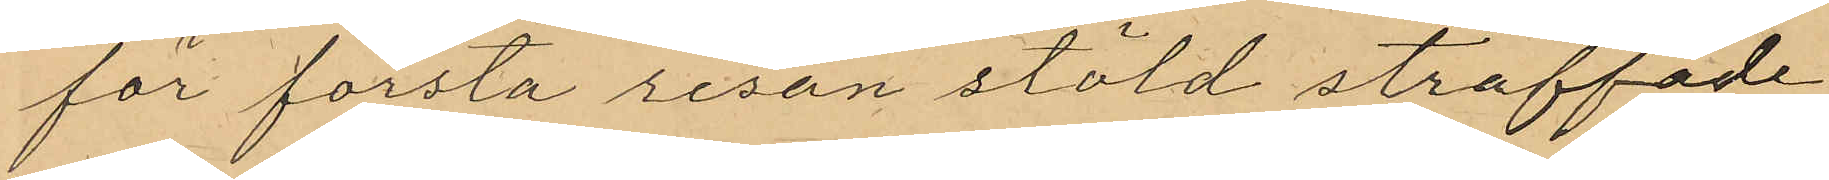för första resan stöld straffade
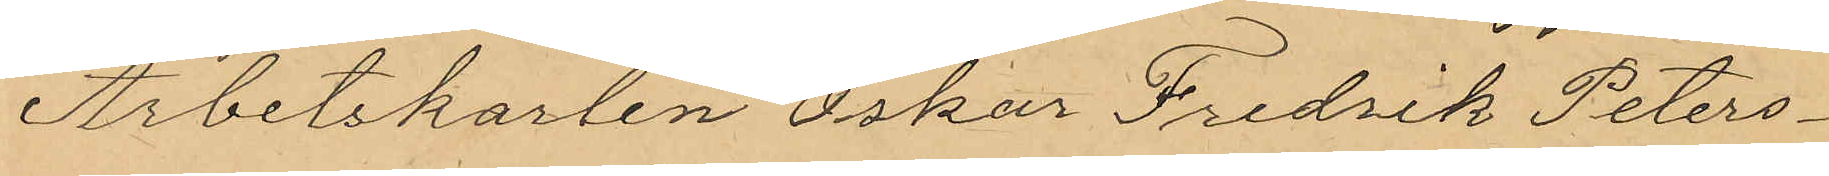Arbetskarlen Oskar Fredrik Peters¬
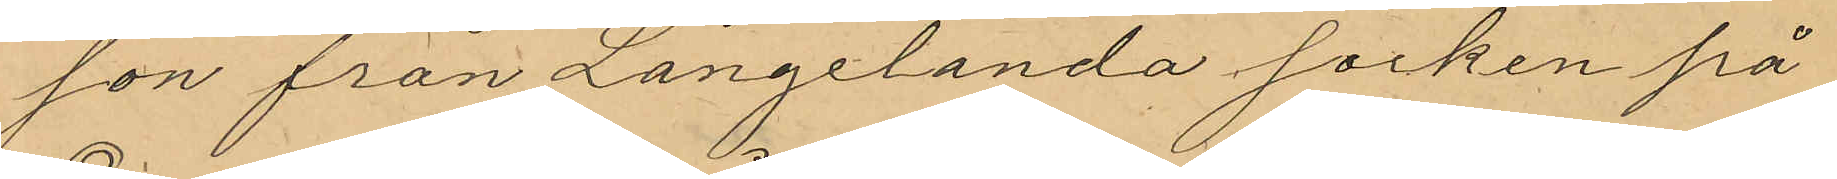son från Långelanda socken på
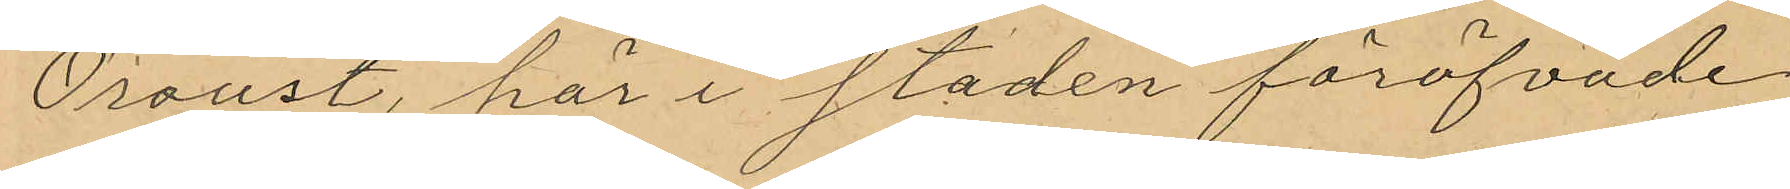Oroust, här i staden föröfvade
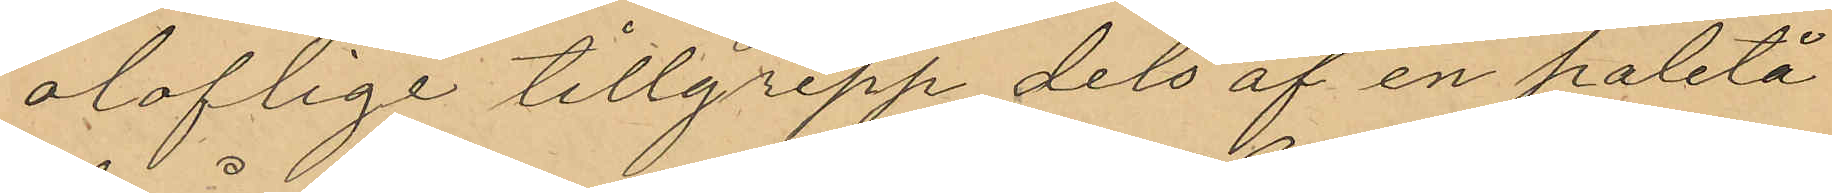oloflige tillgrepp dels af en paletå
